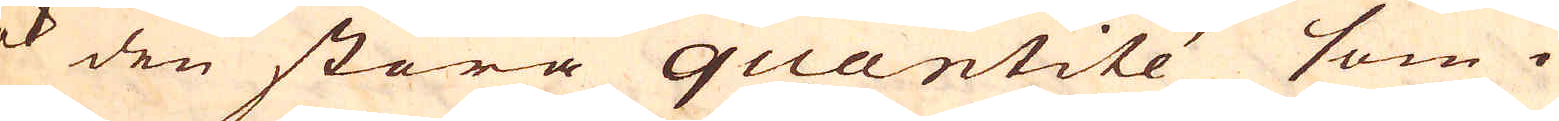ok den stora quantité som i
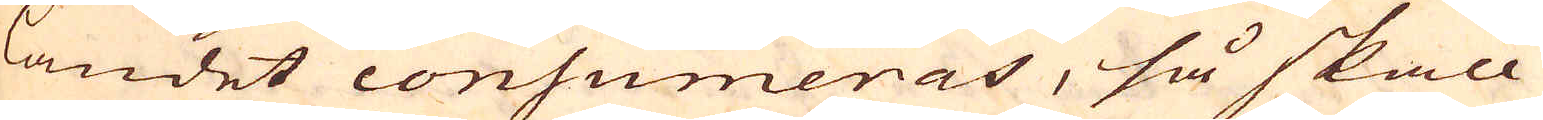landet consumeras, så skall
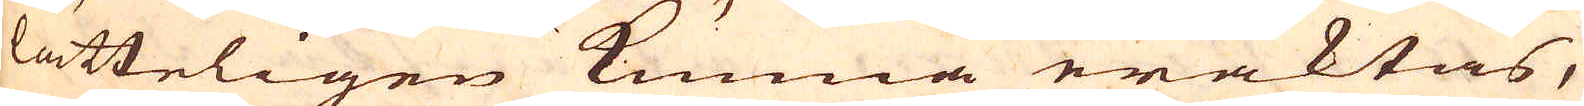lätteligen kunna eraktas,
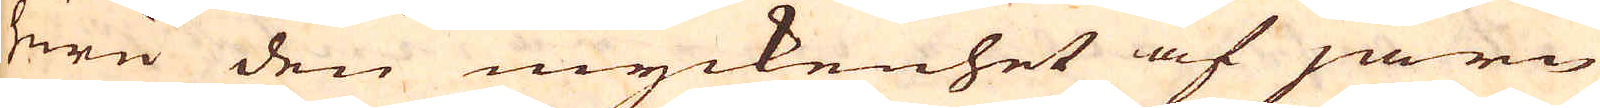huru den myckenhet af järn
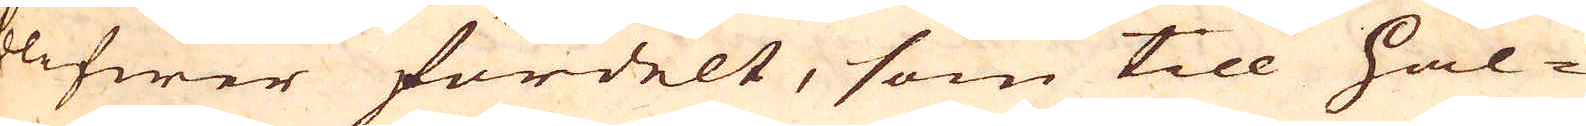blifwer fördelt, som till Hål-
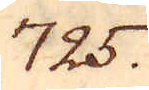725.
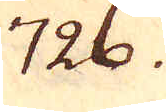726.
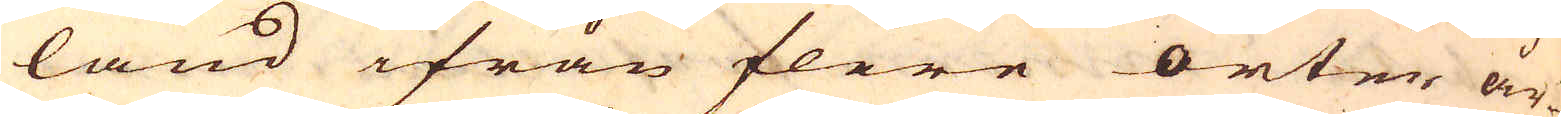land ifrån flere orter år-
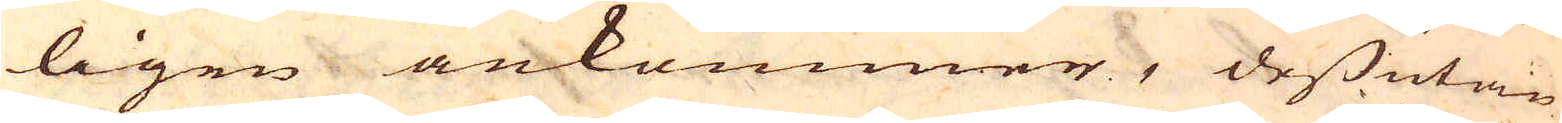ligen ankommer, dessutan
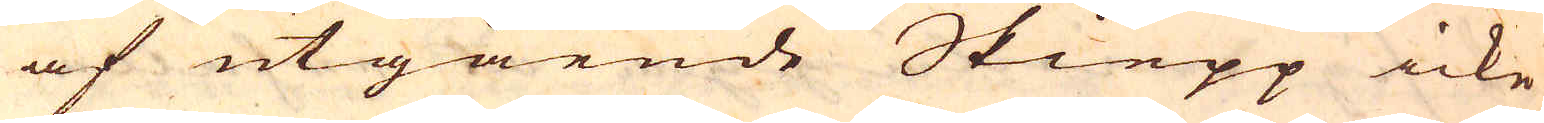af utgående Skiepp icke
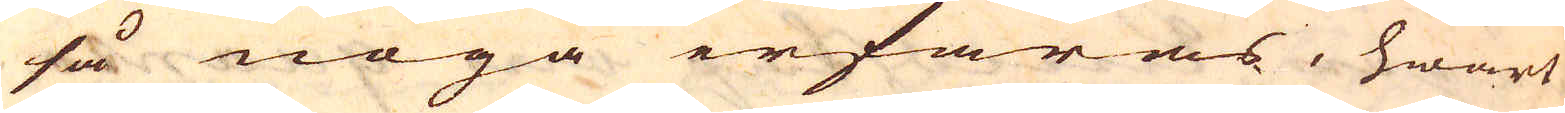så noga erfaras, hwart
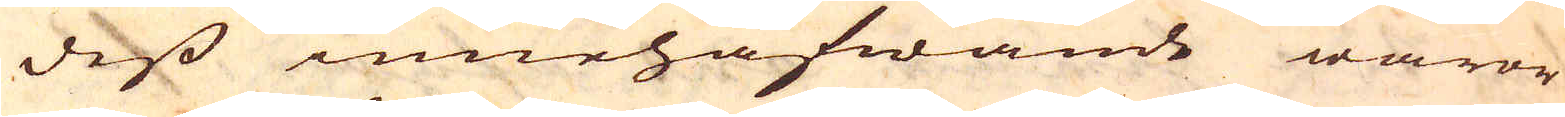dess innehafwande waror
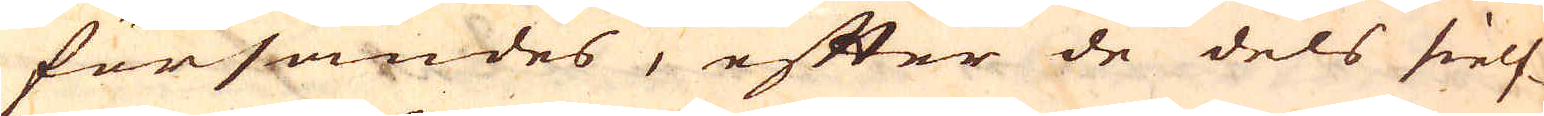försändes, efter de dels sielf-
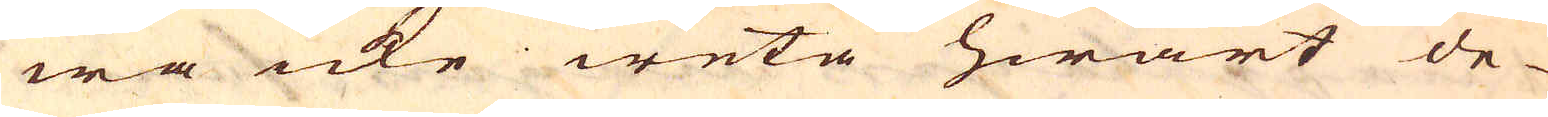wa icke weta hwart de
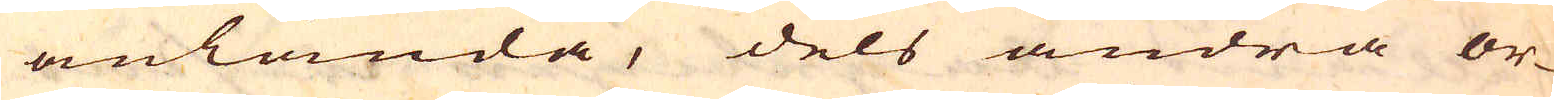anlända, dels andra or-
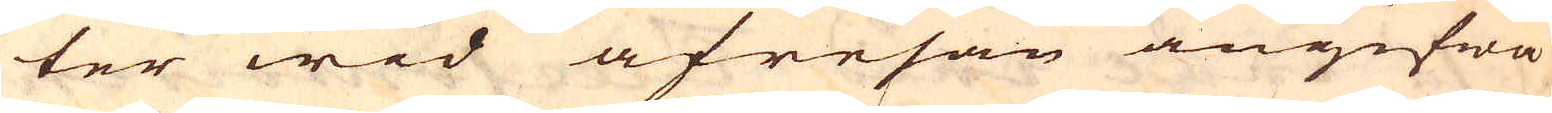ter wid afresan angifwa
